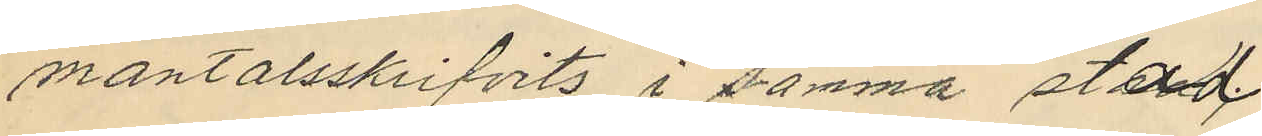mantalsskrifvits i samma stad.
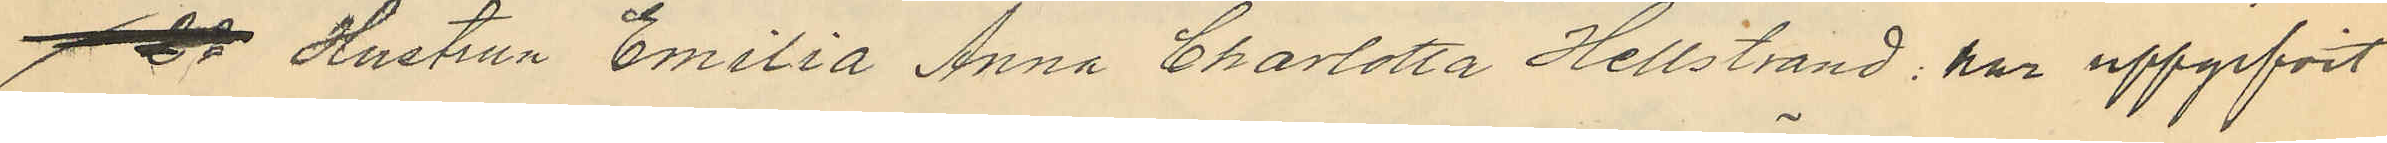 Hustrun Emilia Anna Charlotta Hellstrand har uppgifvit
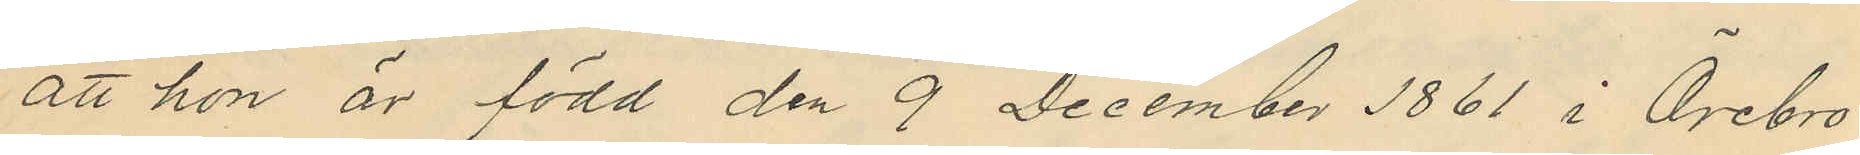att hon är född den 9 December 1861 i Örebro
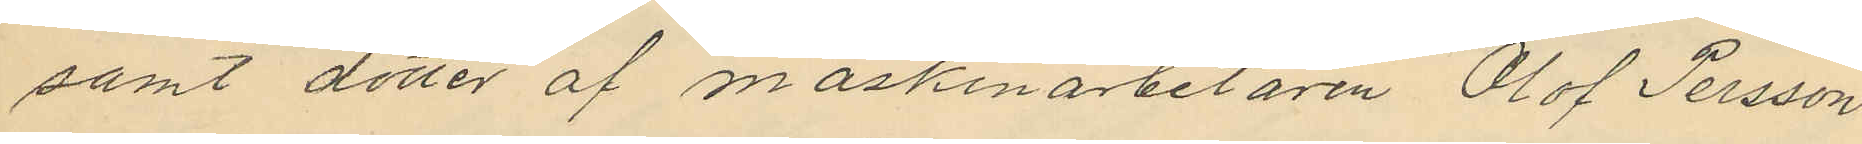samt dotter af maskinarbetaren Olof Persson
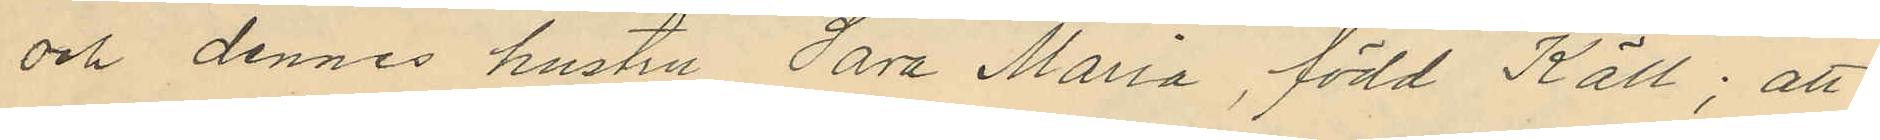och dennes hustru Sara Maria, född Käll; att
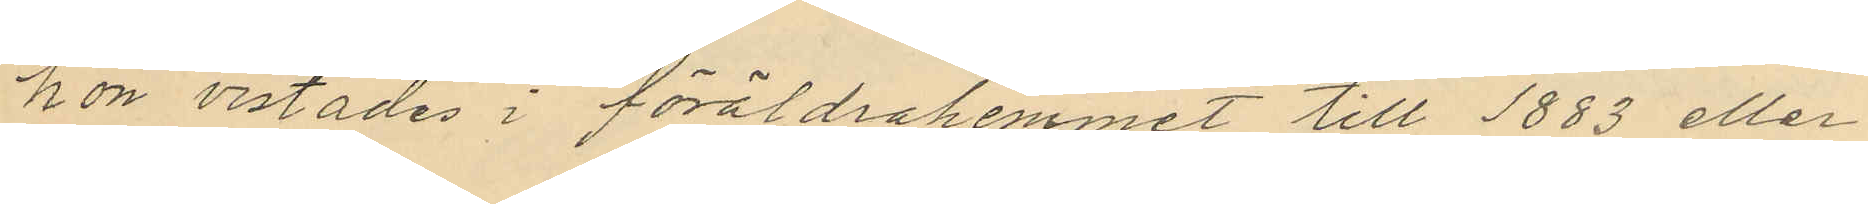hon vistades i föräldrahemmet till 1883 eller
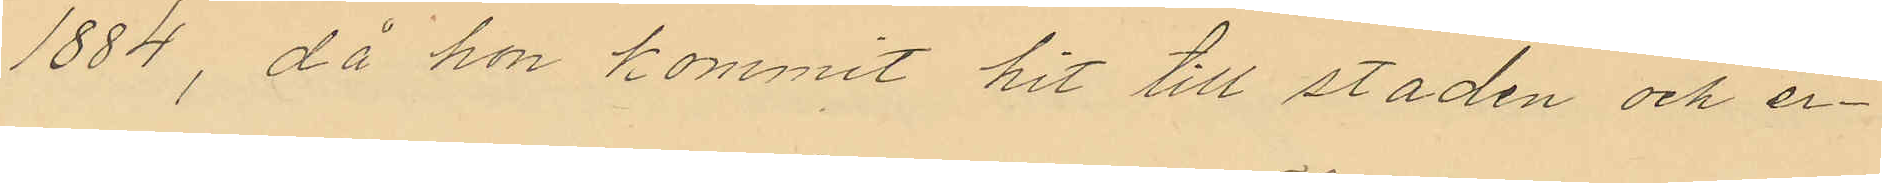1884, då hon kommit hit till staden och er¬
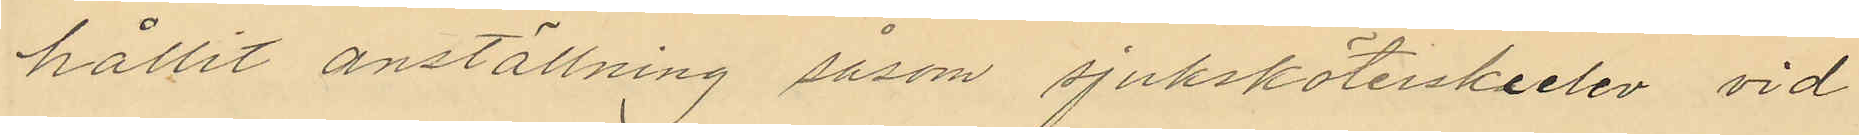hållit anställning såsom sjuksköterskeelev vid
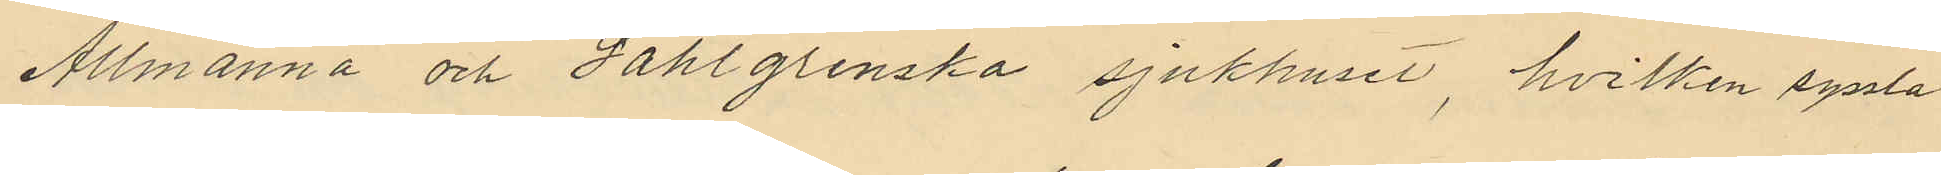Allmänna och Sahlgrenska sjukhuset, hvilken syssla
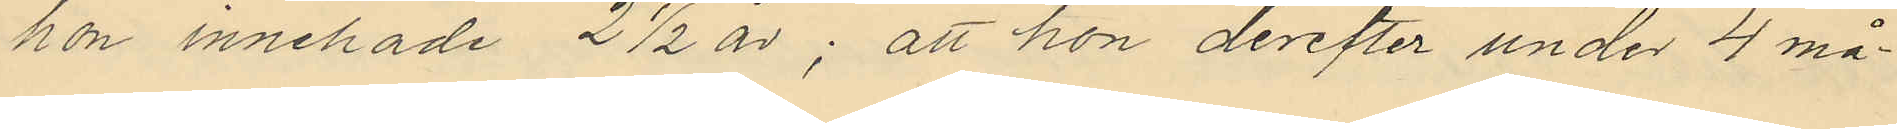hon innehade 2 ½ år; att hon derefter under 4 må¬
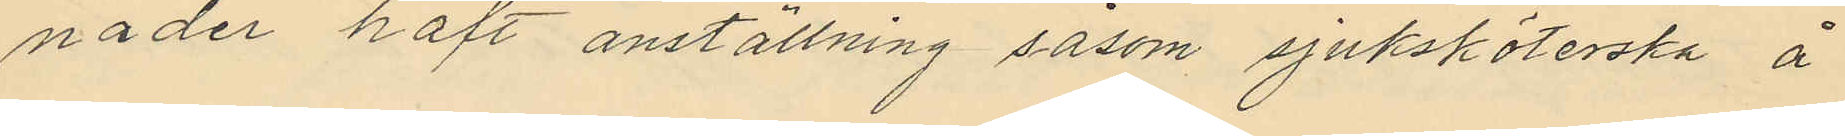nader haft anställning såsom sjuksköterska å
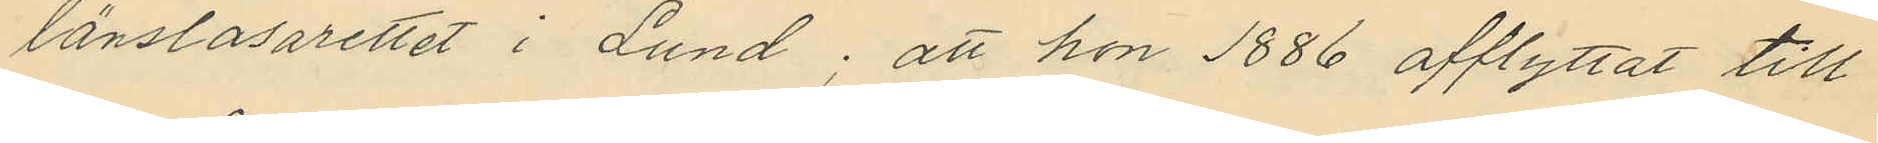länslasarettet i Lund; att hon 1886 afflyttat till
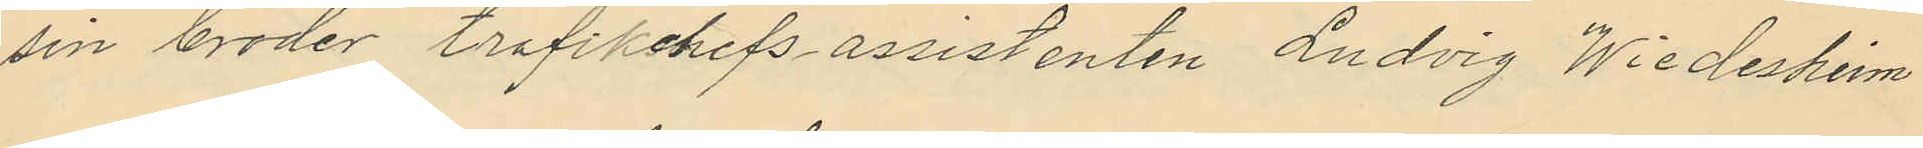sin broder trafikchefsassistenten Ludvig Wiedesheim
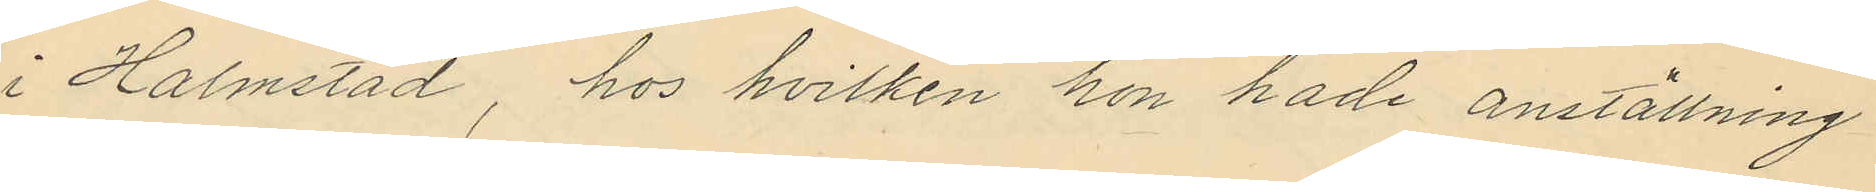i Halmstad, hos hvilken hon hade anställning
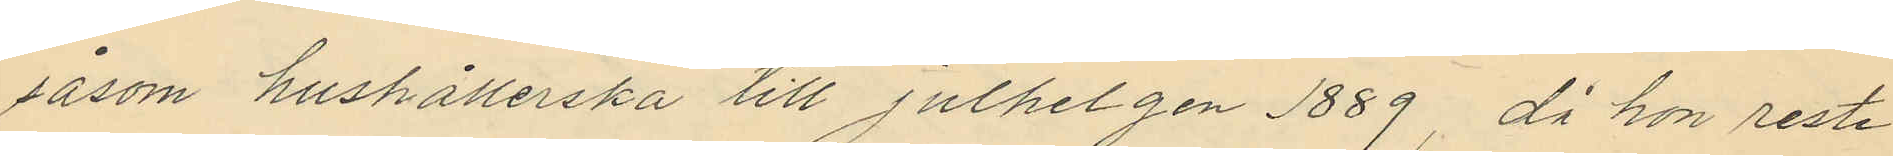såsom hushållerska till julhelgen 1889, då hon reste
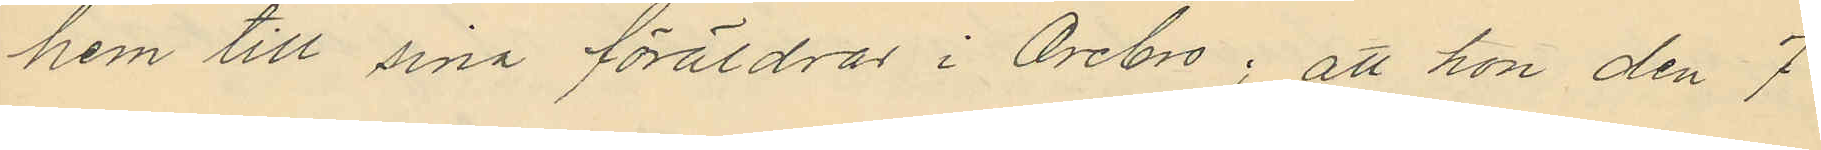hem till sina föräldrar i Örebro; att hon den 7
